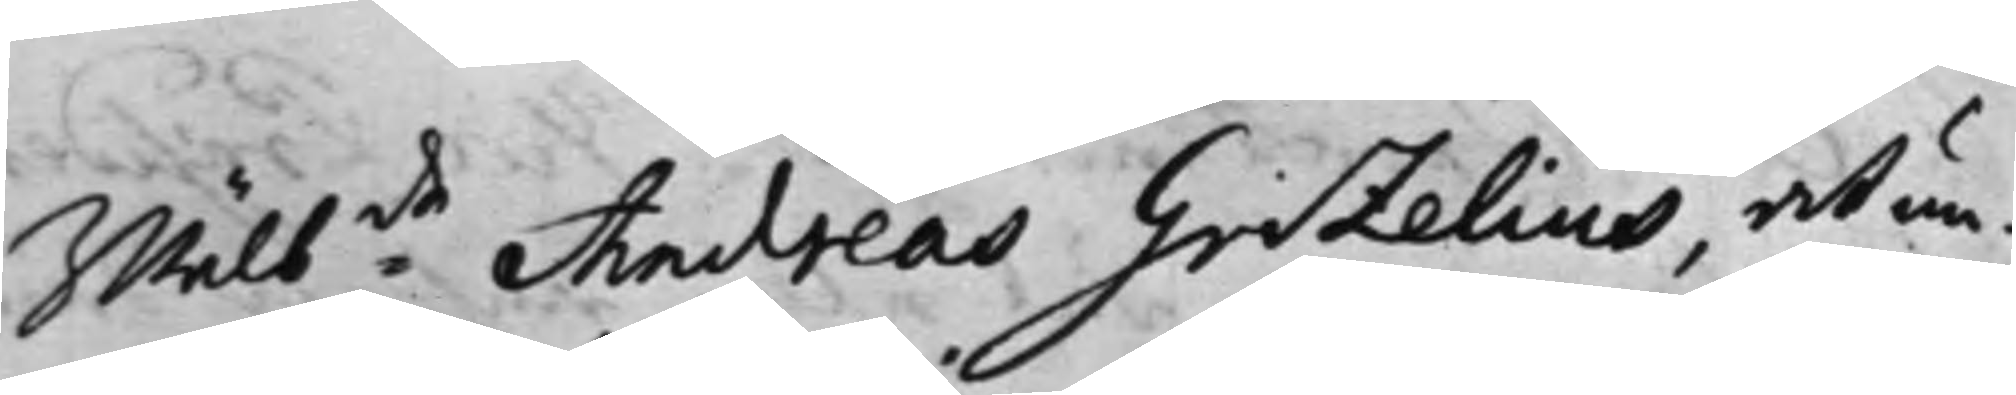Wälb:de Andreas Grizelius, at un¬
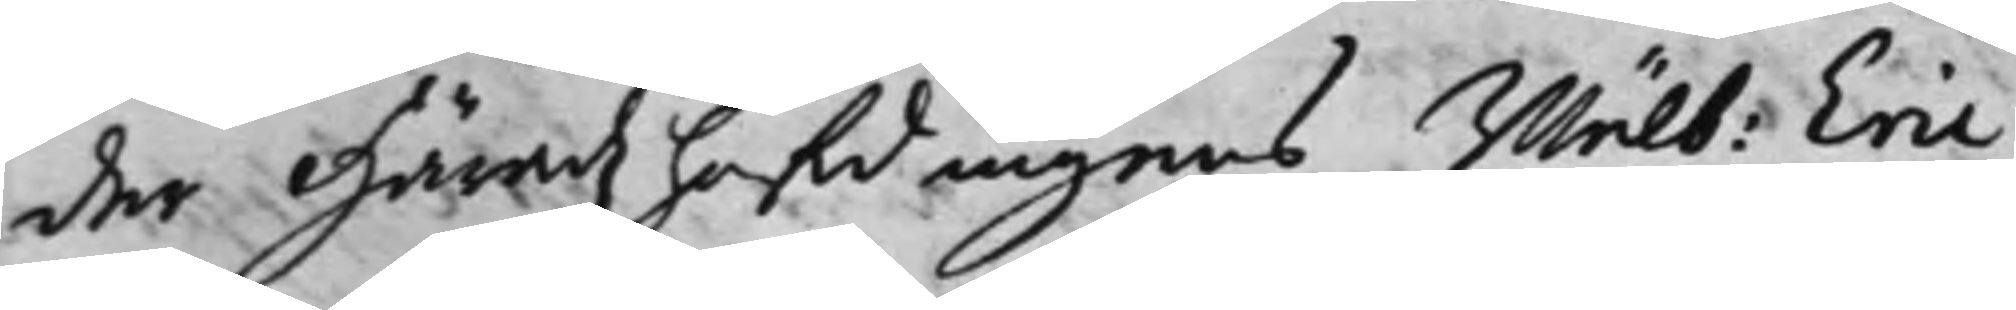der Häradzhöfdingens Wälb: Eric
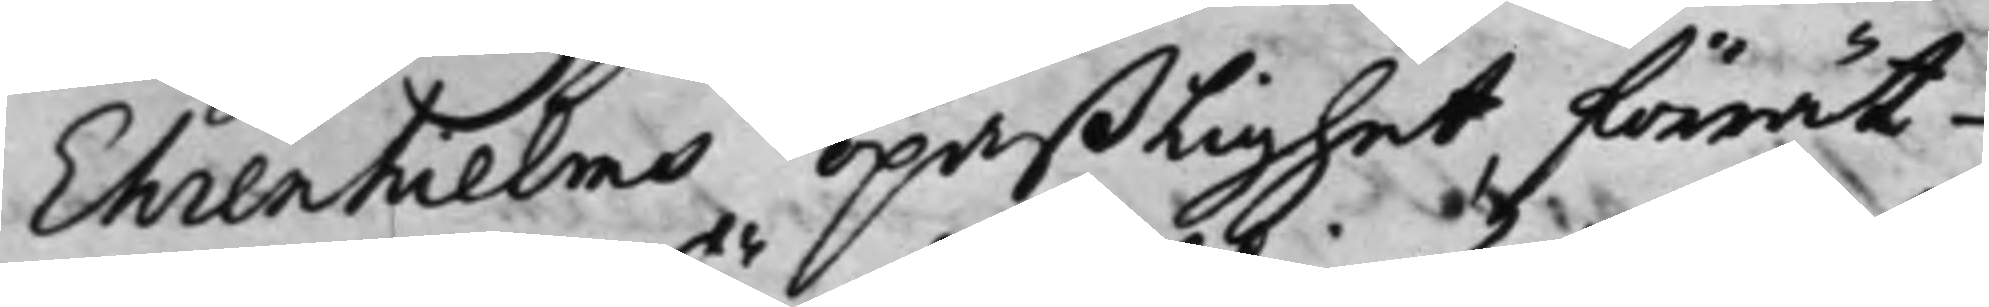Ehrenhielms opaßlighet, förrät¬
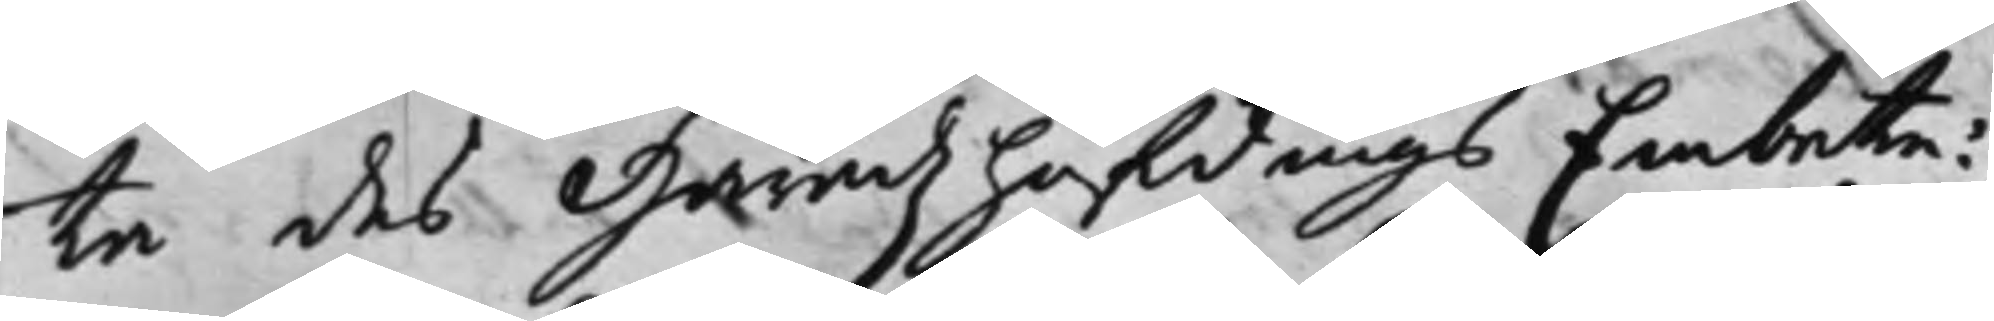ta des Häradzhöfdings Embete:
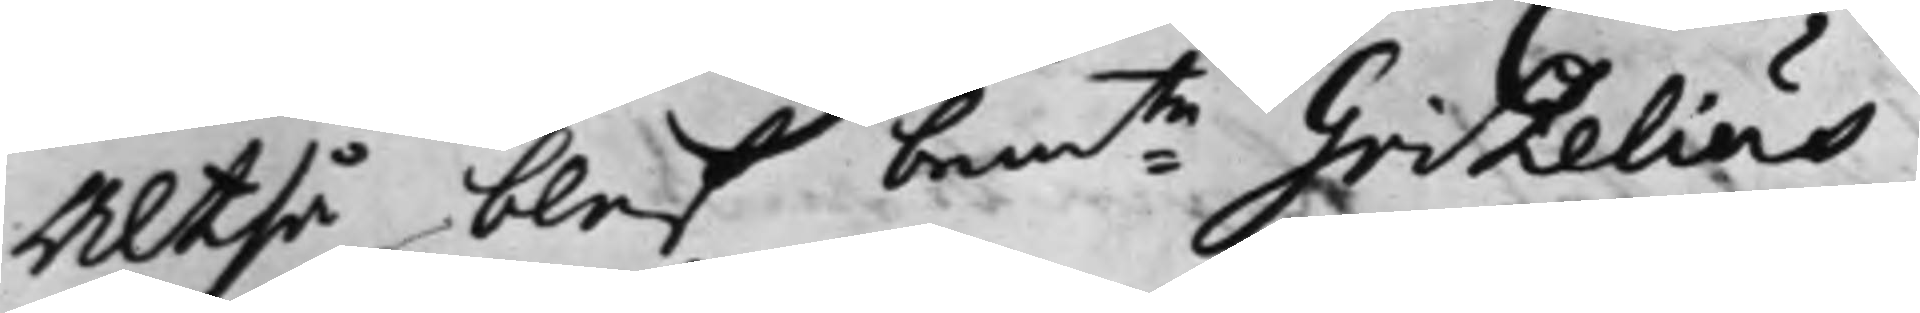Altså blev bem:te Grizelius
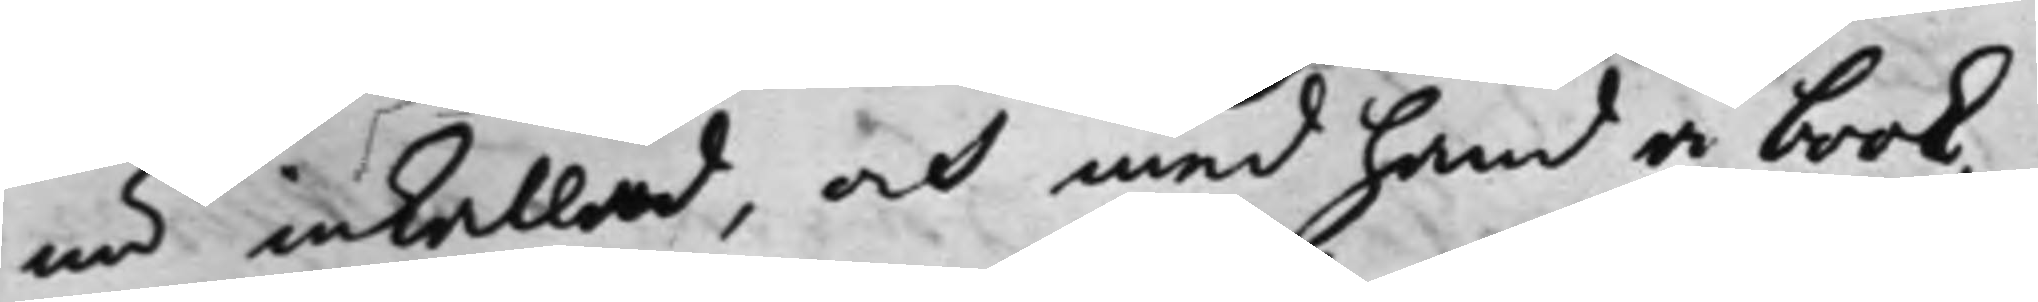nu inkallad, och med hand å book,
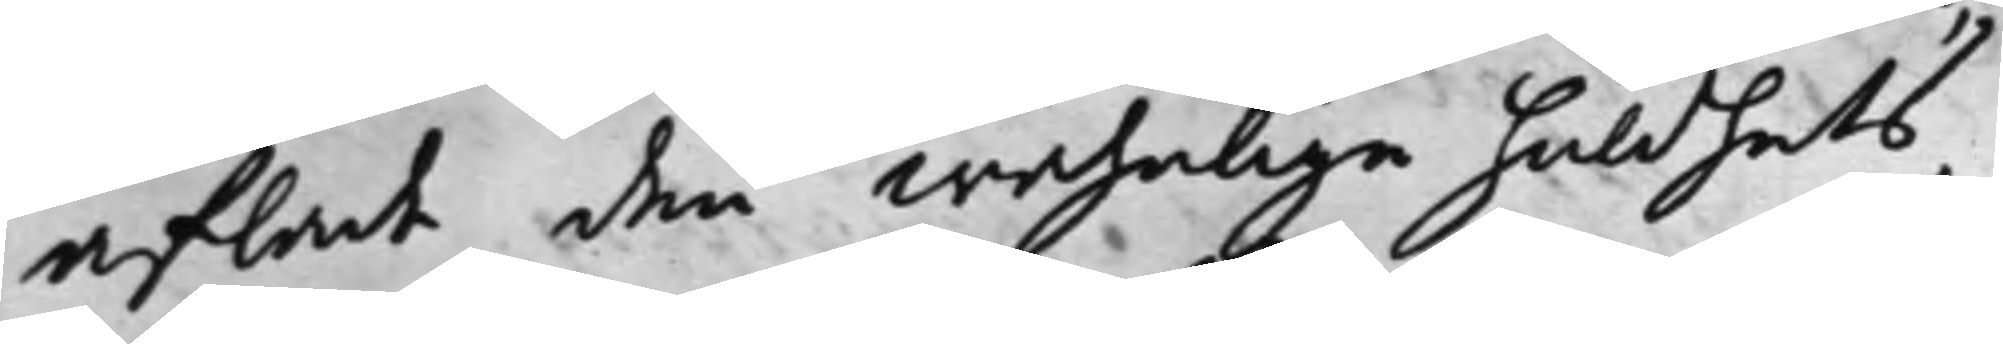aflade den wahnlige huldhets,
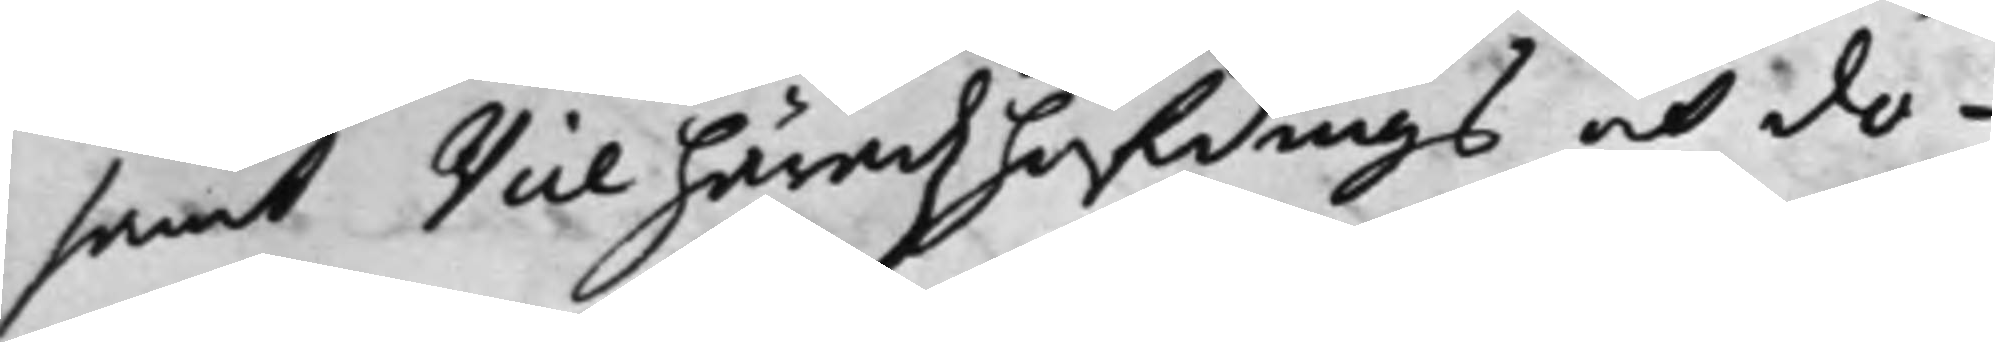samt Vice Häradzhöfdings och do¬
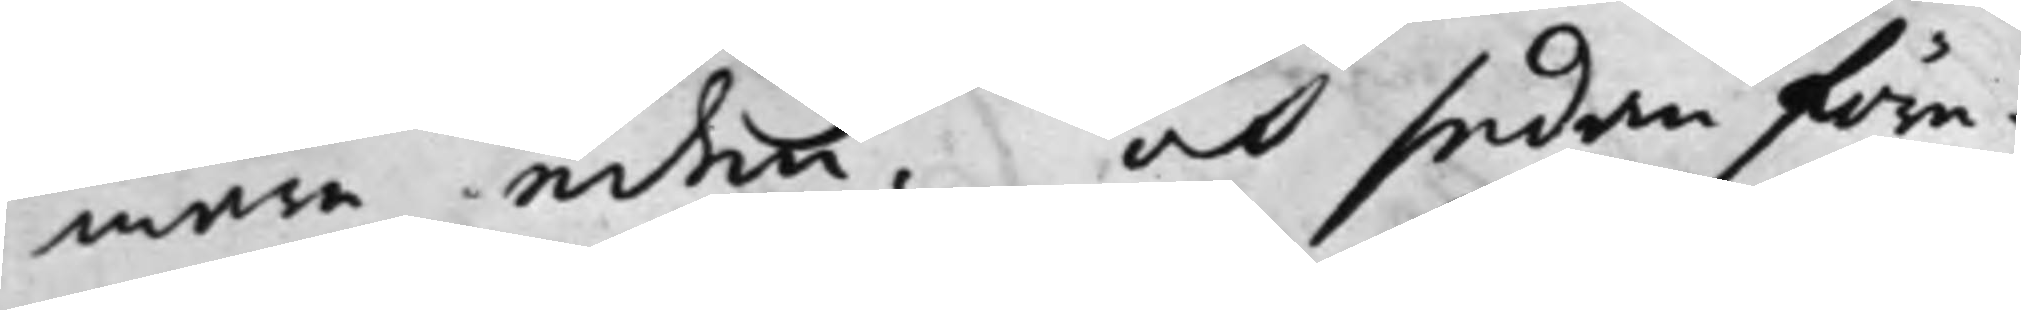mare eden. och sedan före¬
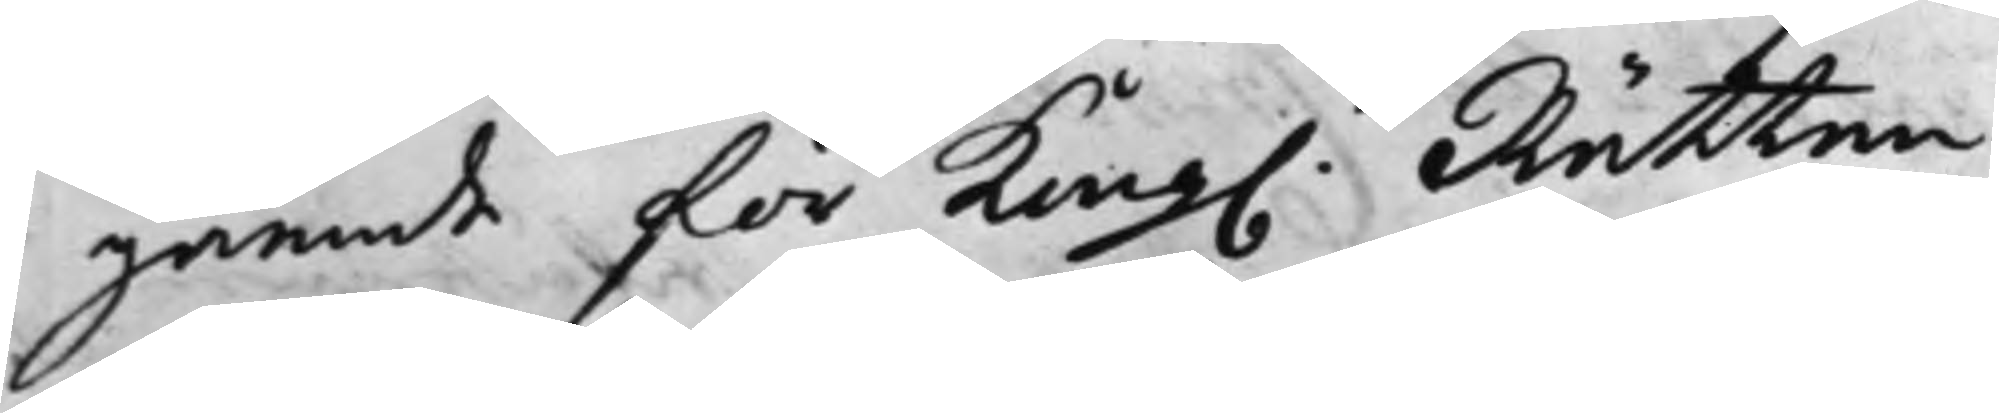gående för Kong. Rätten
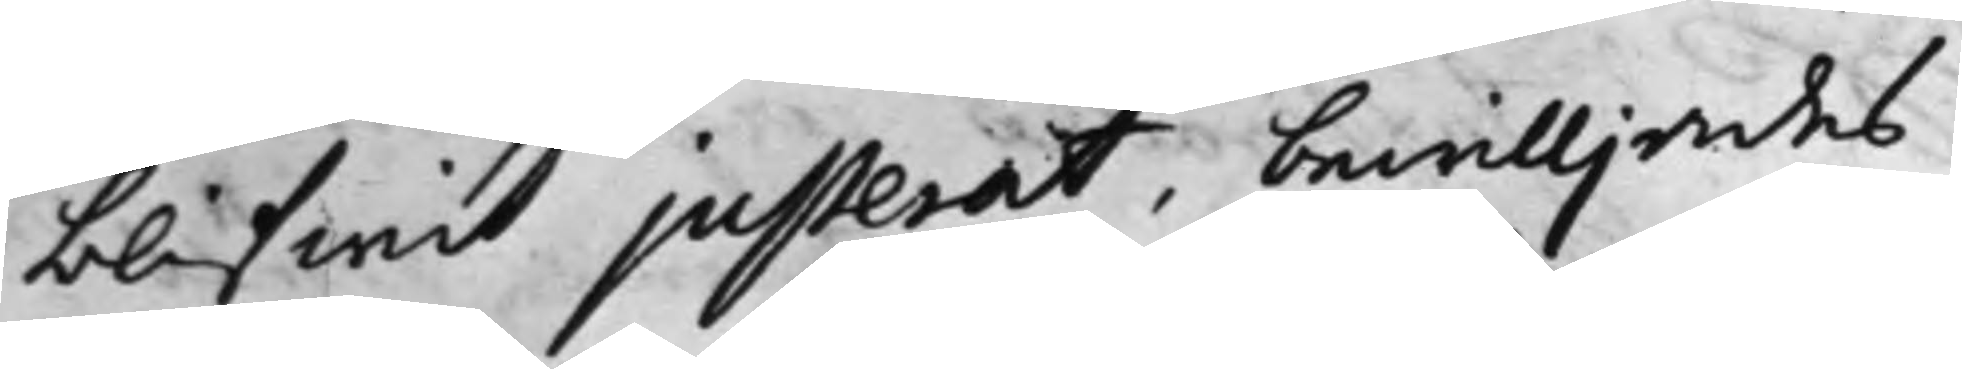blifwit justerat, bewilljades
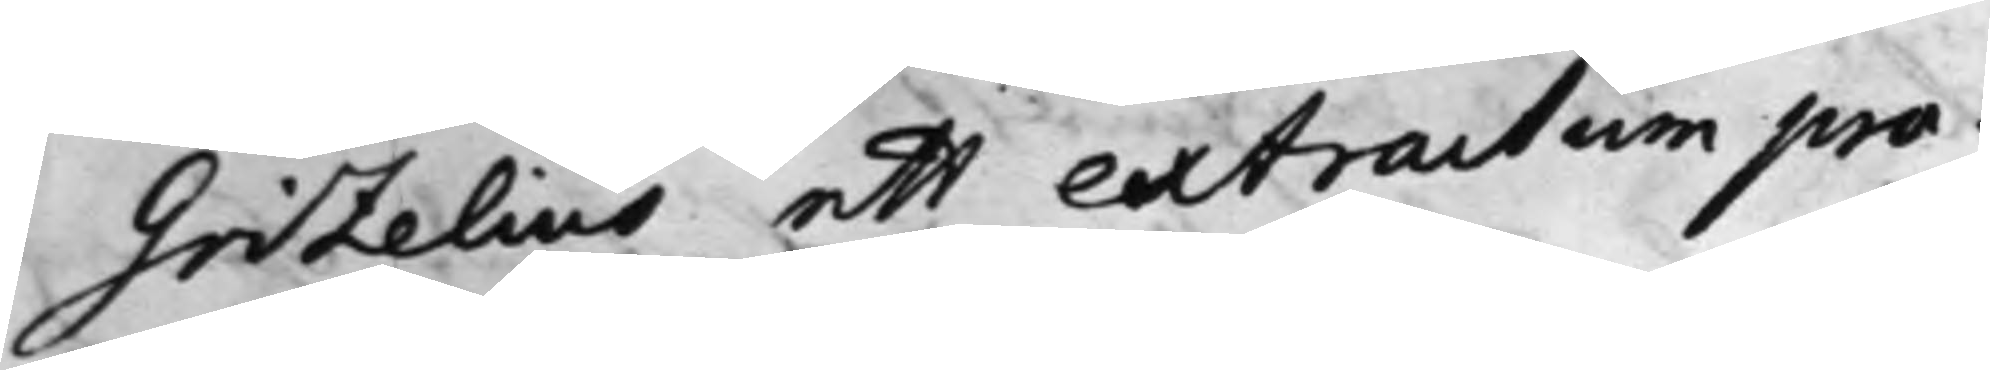Grizelius ett extractum pro¬
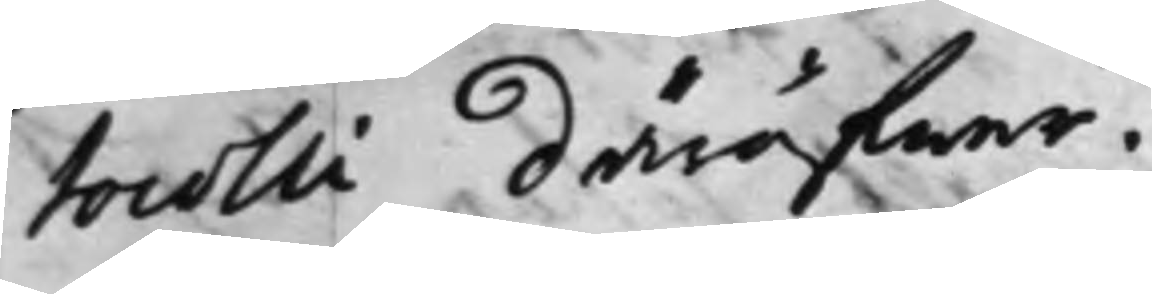tocolli däröfwer.
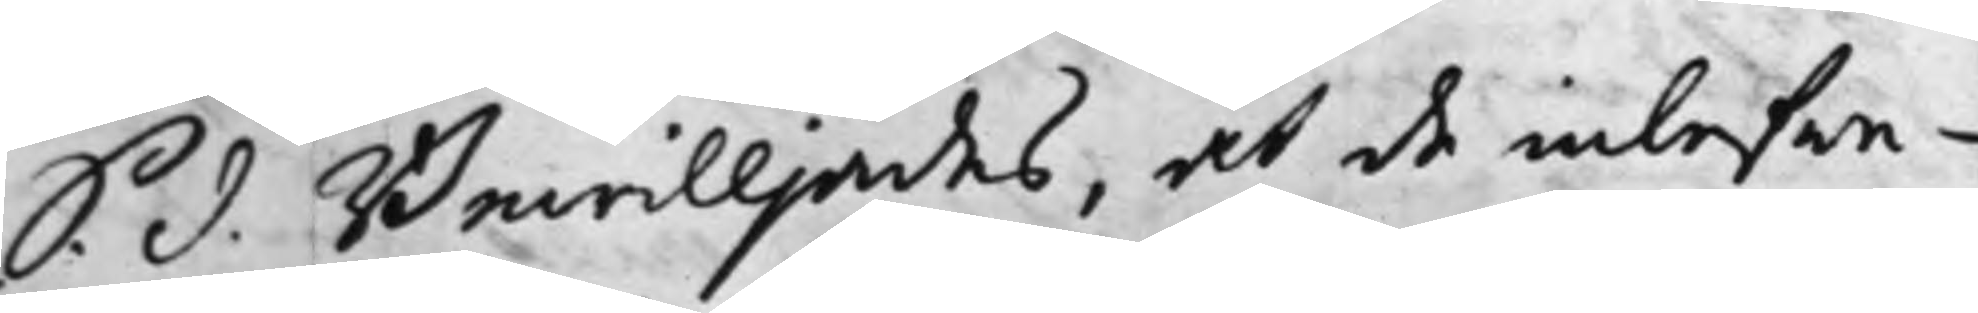S. d. Bewilljades, at de inlefwe¬
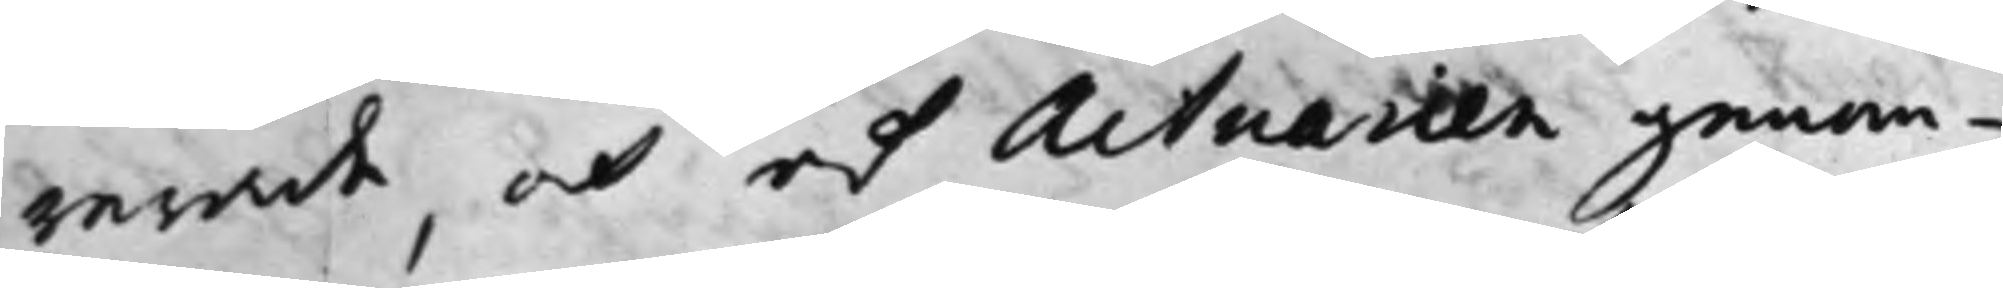rerade, och af Actuarien genom¬
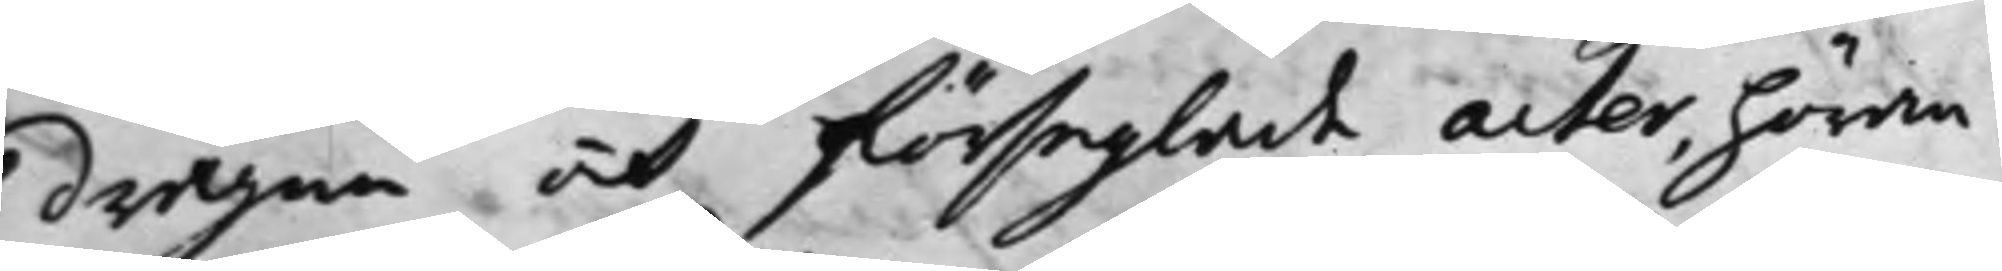dragne och förseglade acter, höran¬
